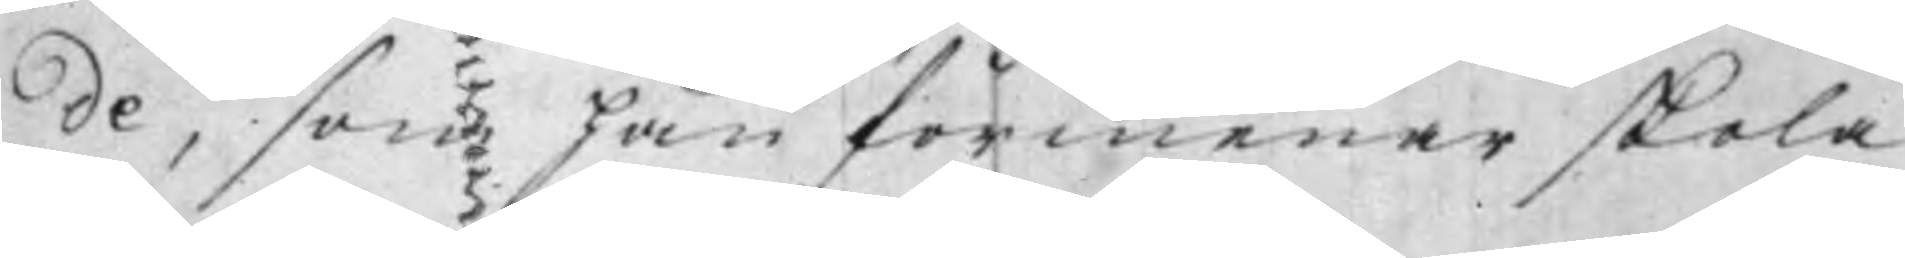de, som han förmenar skola
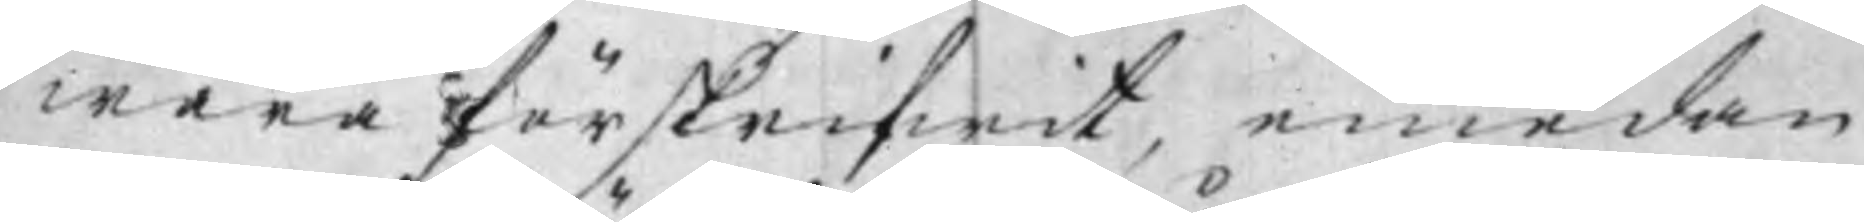wara förskrifwit, emedan
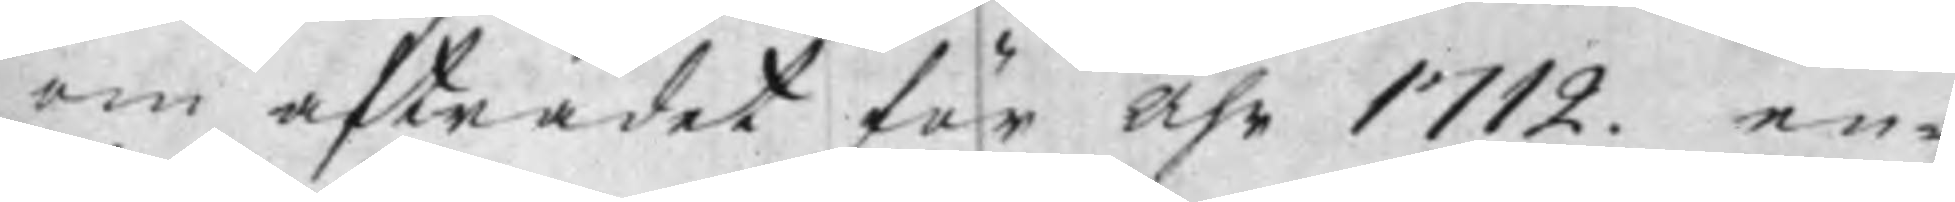om afträdet för åhr 1712 en¬
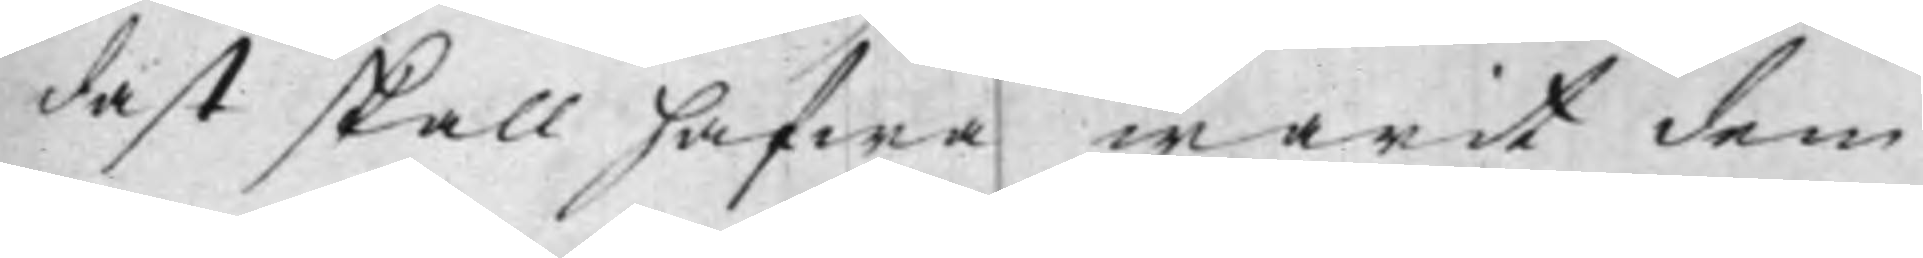dast skall hafwa warit dem
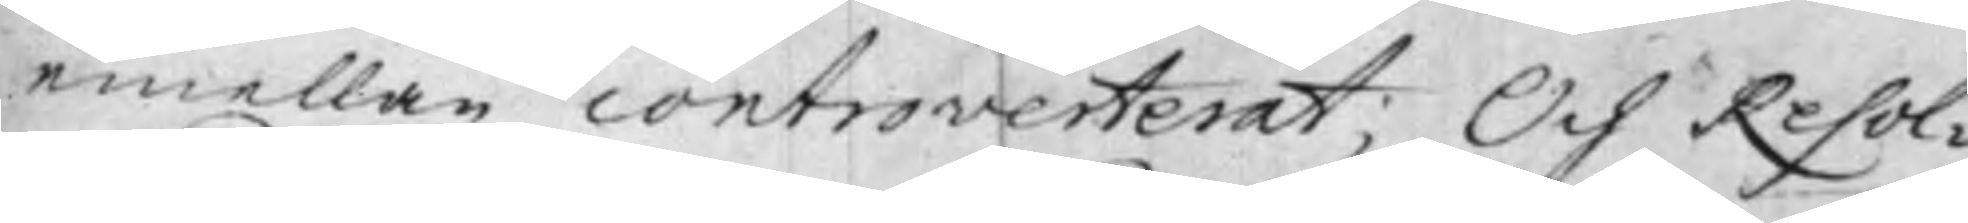emellan controverterat; Och Resol¬
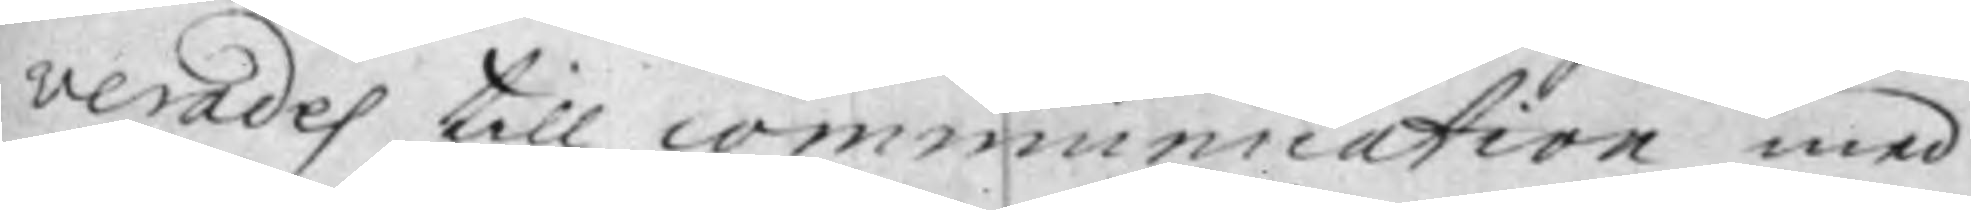verades till communication med 
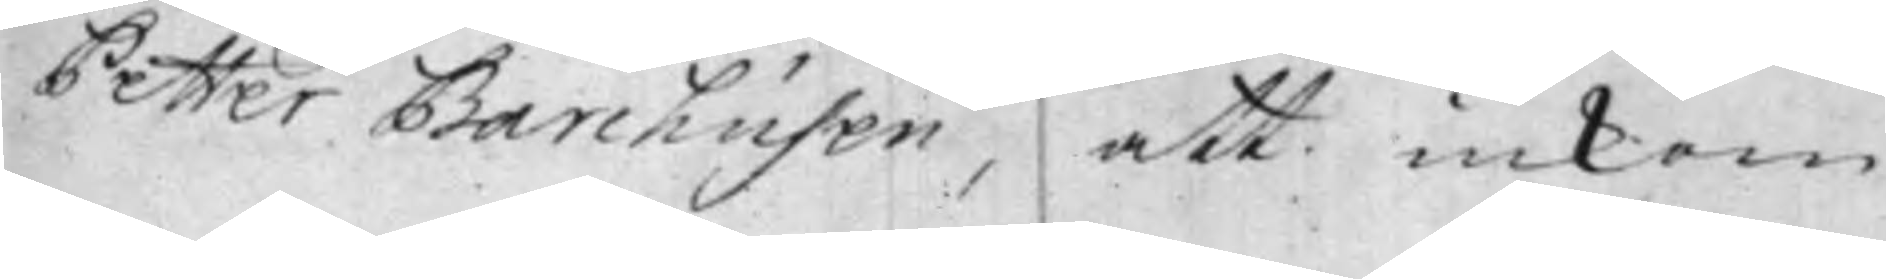Petter Barchusen, att inkom¬
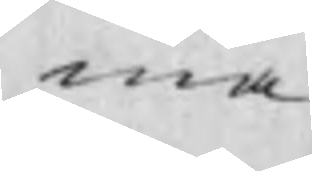ma
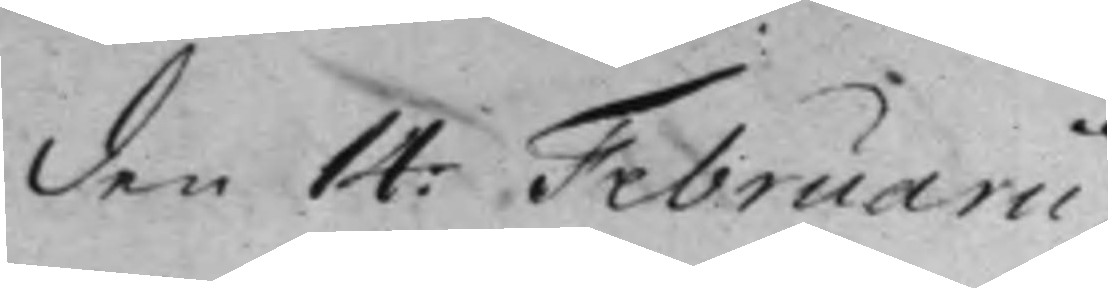den 14: Februarii.
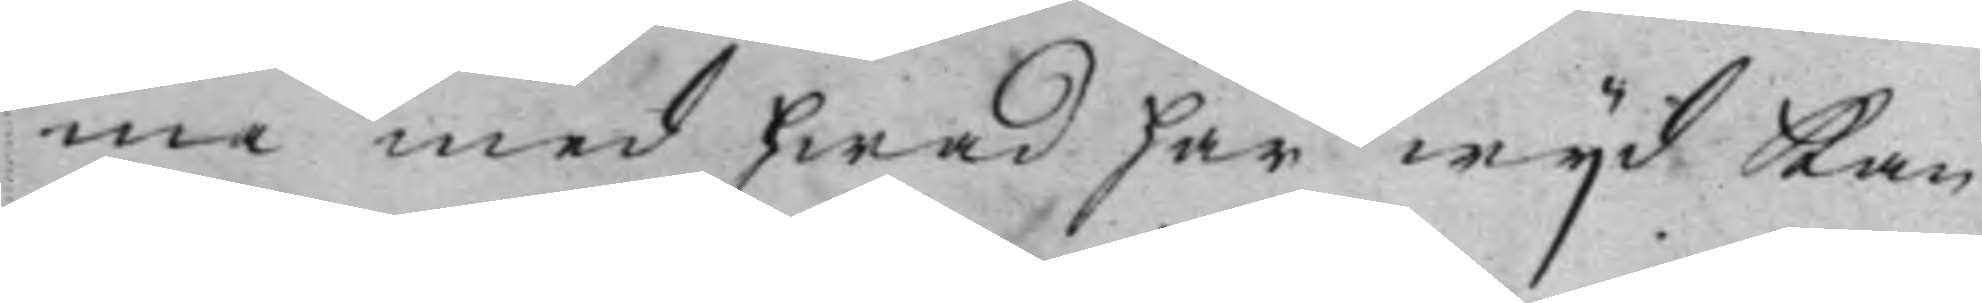ma med hwad här wijd kan
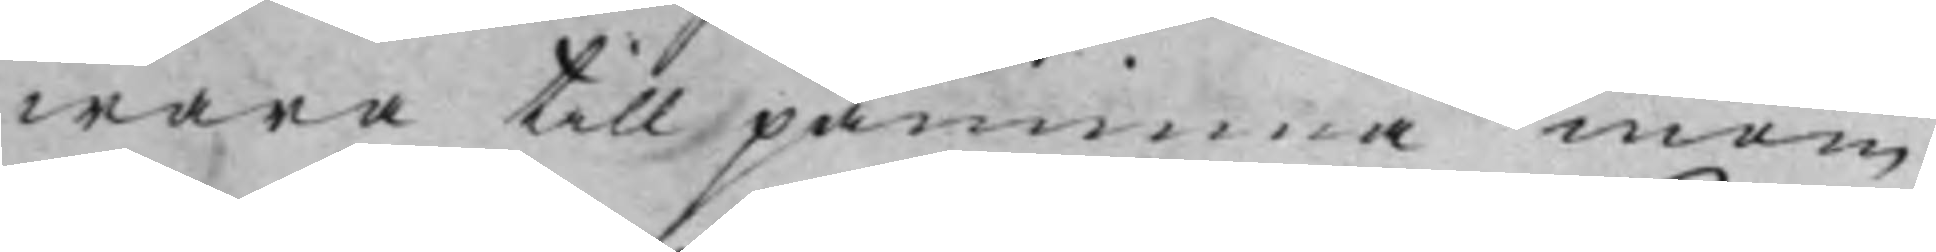wara till påminna inom
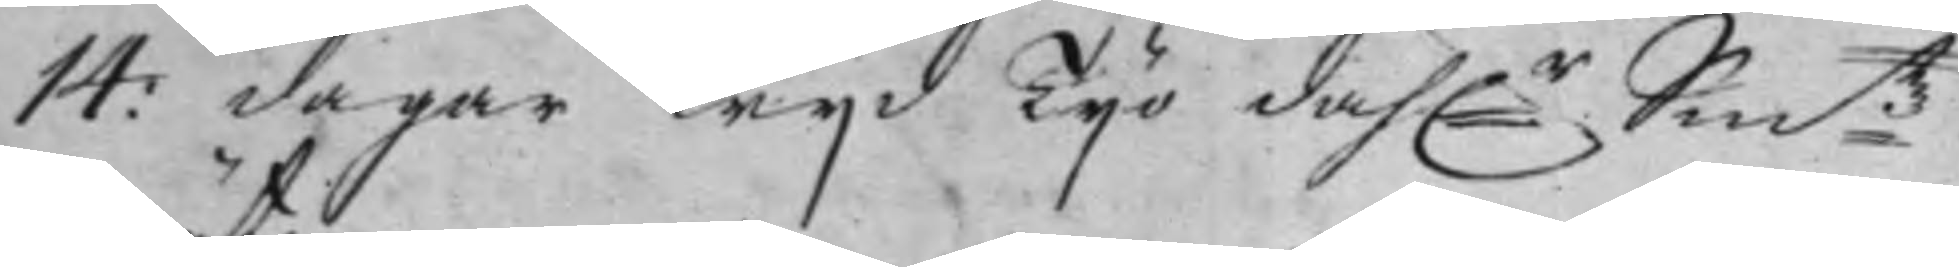14: dagar wijd Tijo dahlr Smtz
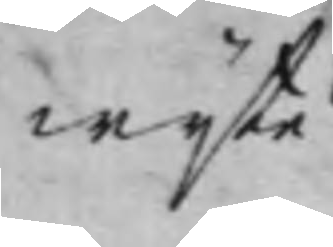wijte
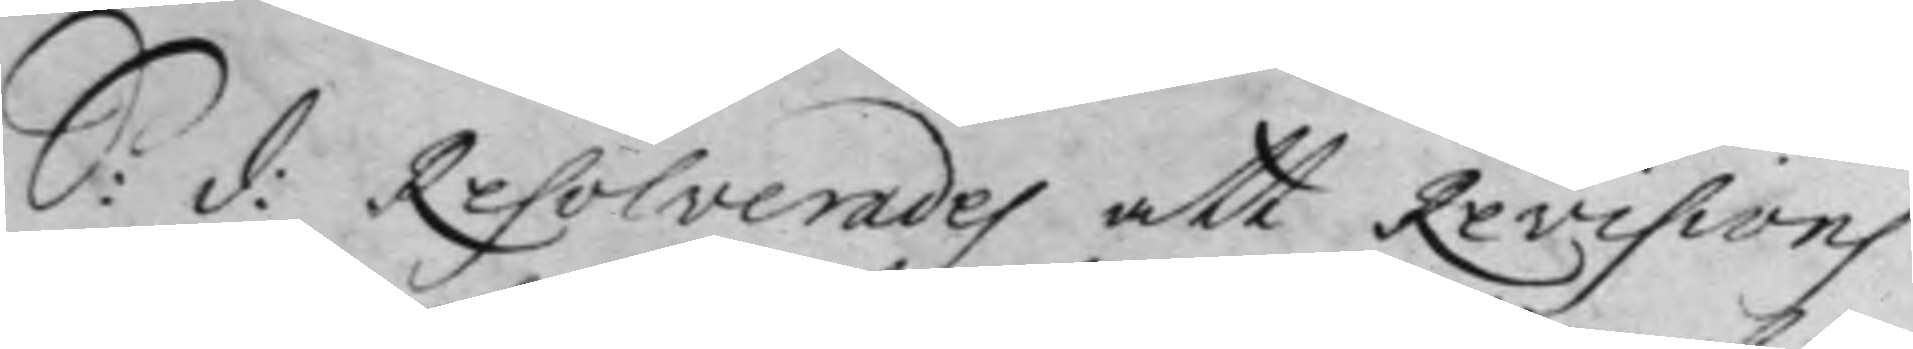S: d: Resolverades att Revisions
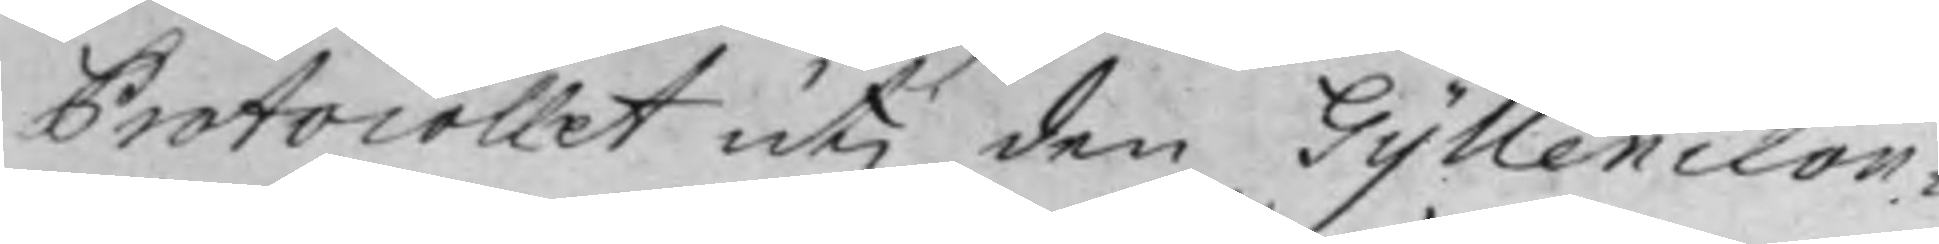Protocollet uti den Gyllenclou¬
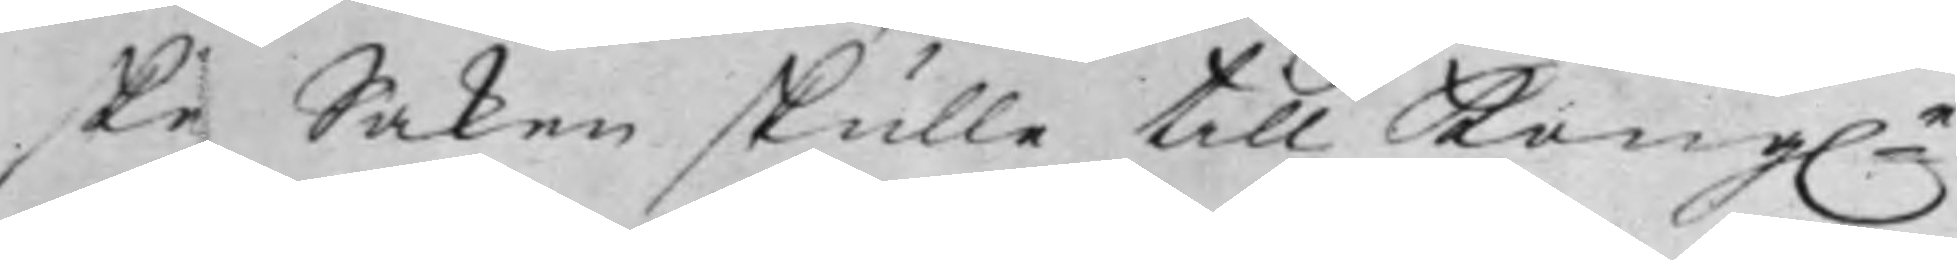ska Saken skulle till Kongle
